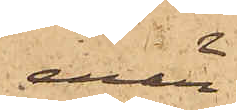enär
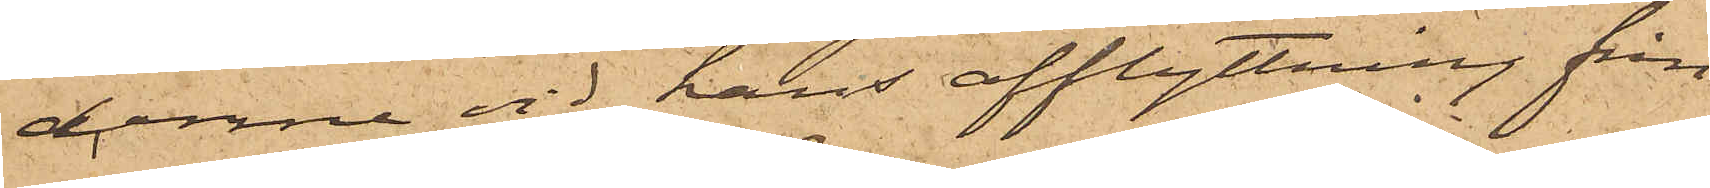denne vid hans afflyttning från
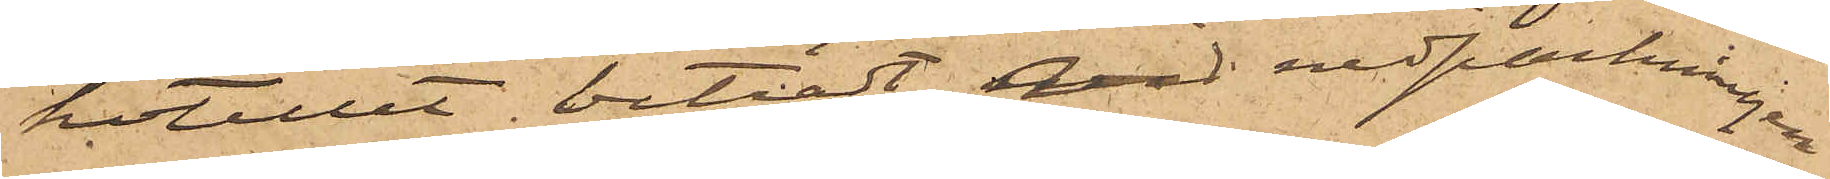hotellet biträdt med nedpackningen
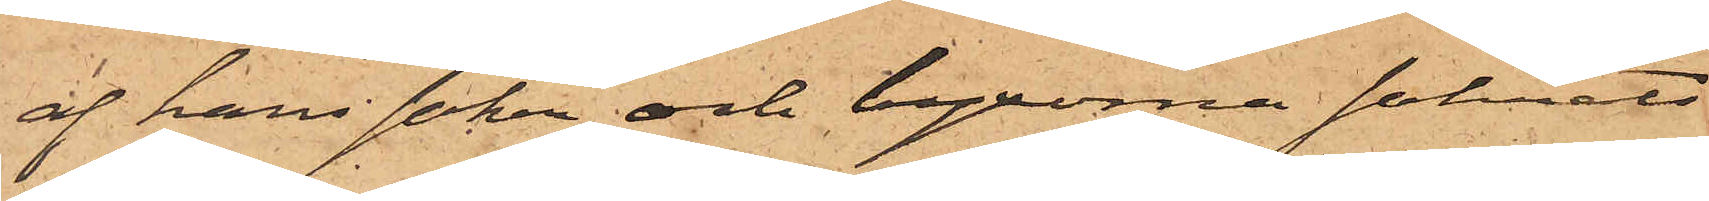af hans saker och byxorna saknats
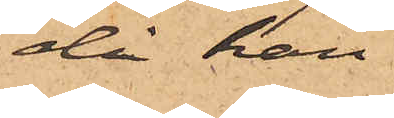då han
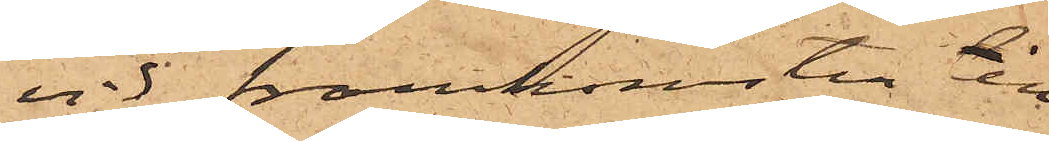vid framkomsten till
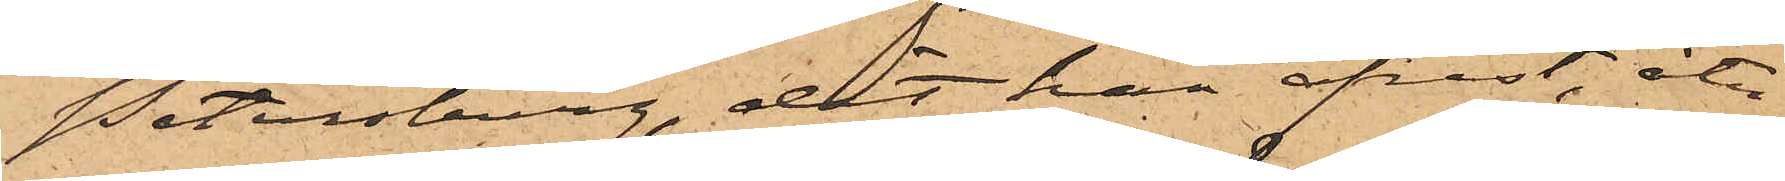Petersburg, dit han afrest, åter
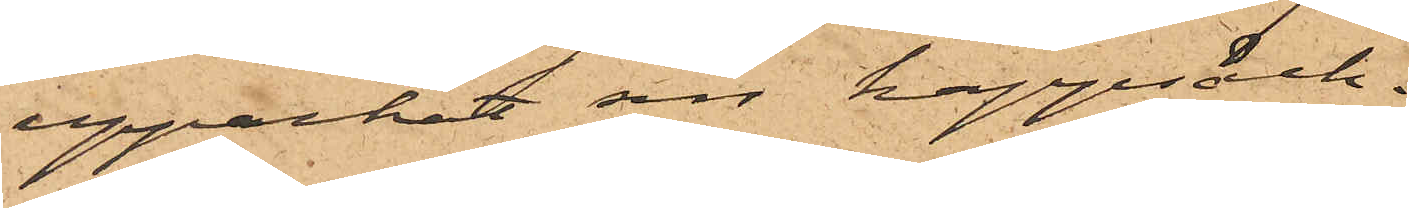uppackat sin kappsäck.
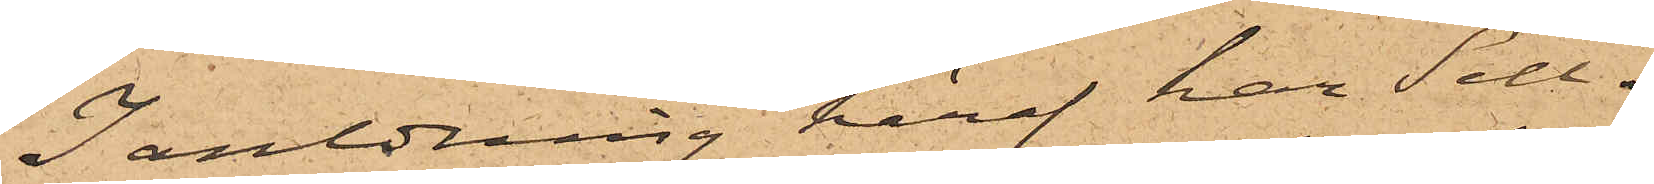I anledning häraf har Sell¬
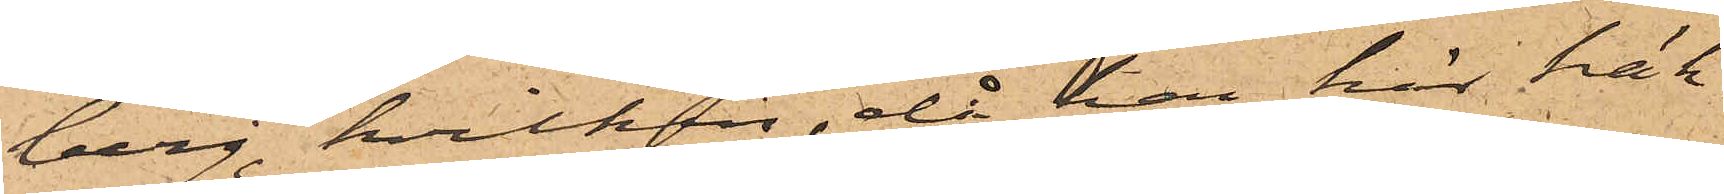berg, hvilken, då han här häk¬
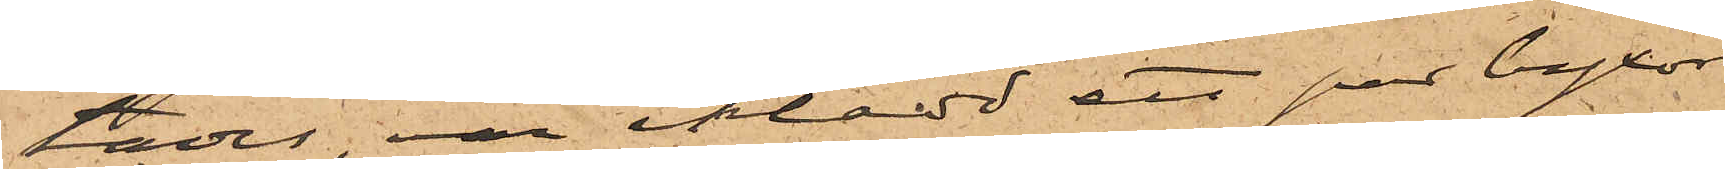tades var iklädd ett par byxor
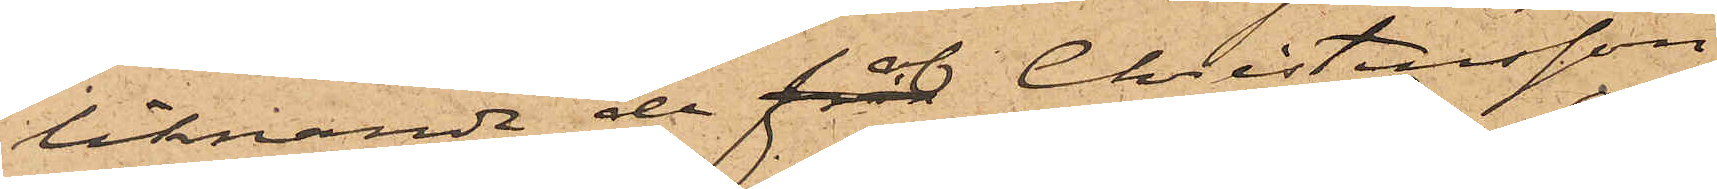liknande de för Christensson
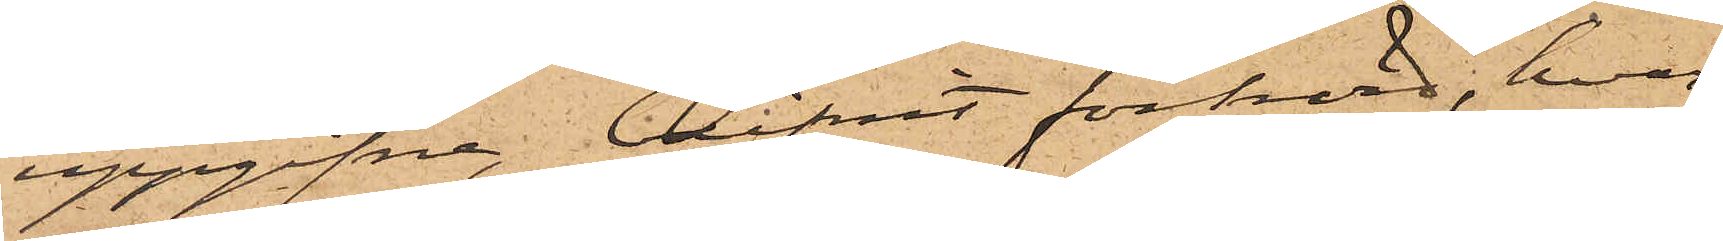uppgifna, blifvit förhörd, hvar¬
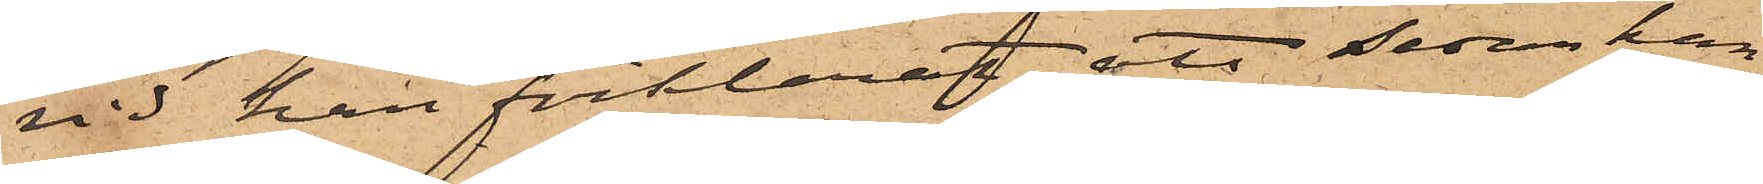vid han förklarat, att sedan han
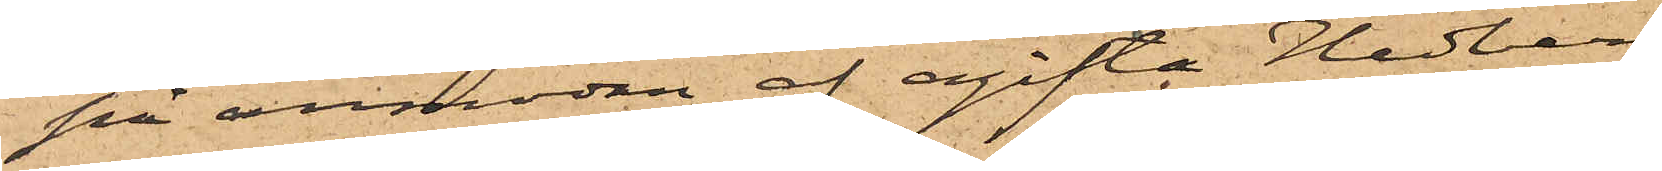på anmodan af ogifta Hedberg
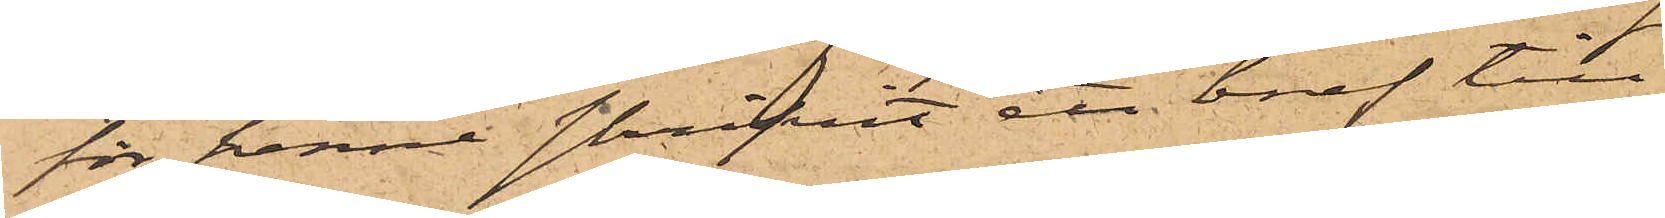för henne skrifvit att bref till
